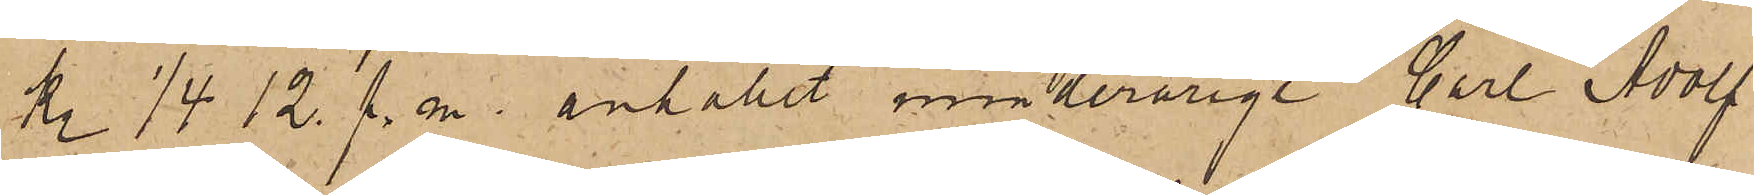kl. 1/4 12. f. m. anhållit minderårige Carl Adolf
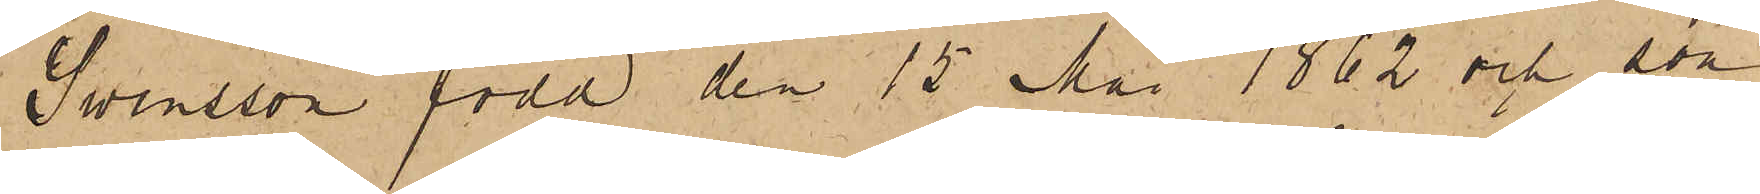Swensson född den 15 Maj 1862 och son
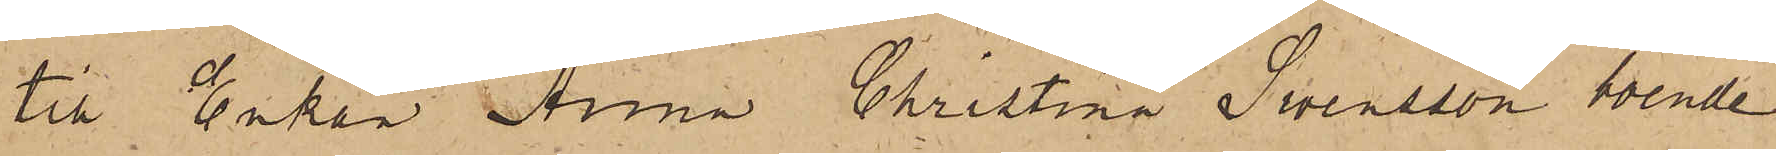till Enkan Anna Christina Svensson boende
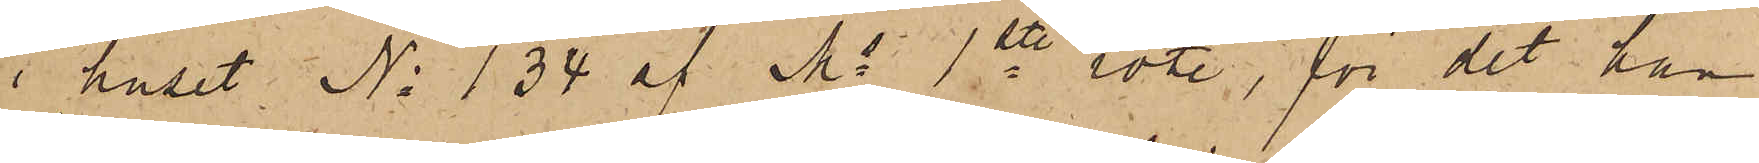i huset No 134 af Ms 1ste rote, för det han
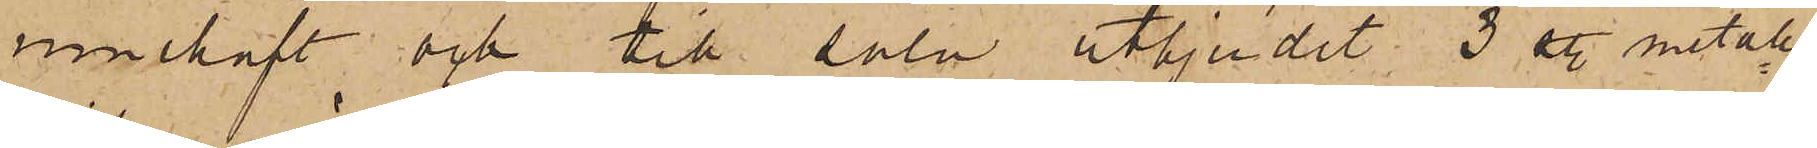innehaft och till salu utbjudit 3 st. metall¬
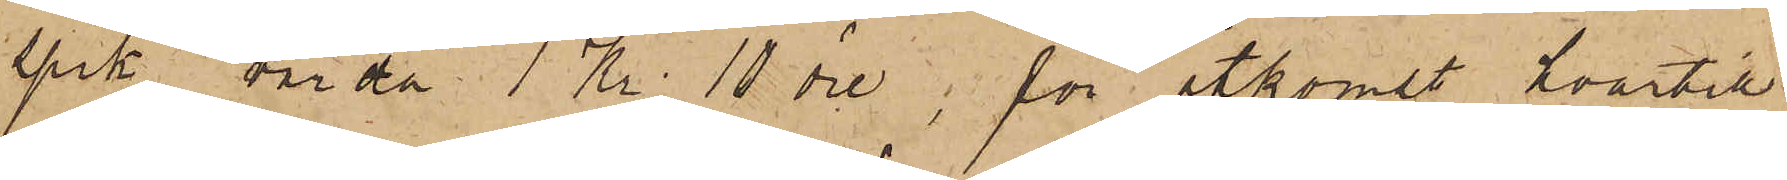spik, värda 1 Kr. 10 öre, för åtkomst hvartill
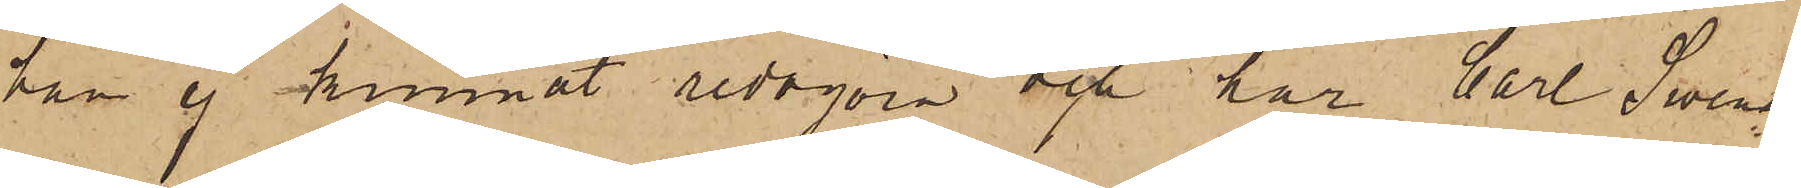han ej kunnat redogöra och har Carl Svens¬
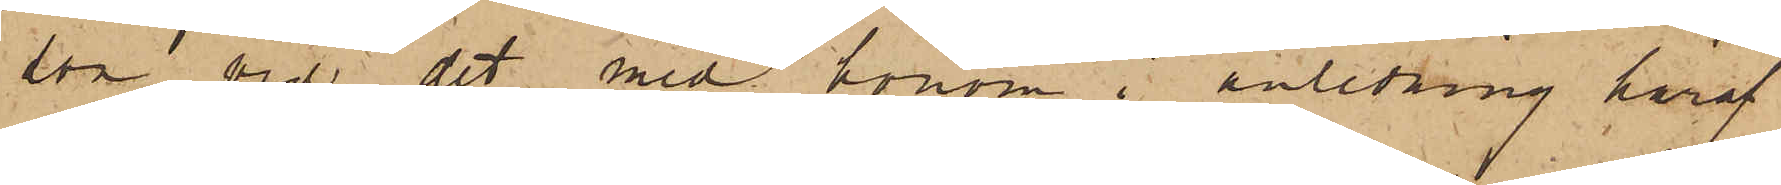son vid det med honom i anledning häraf
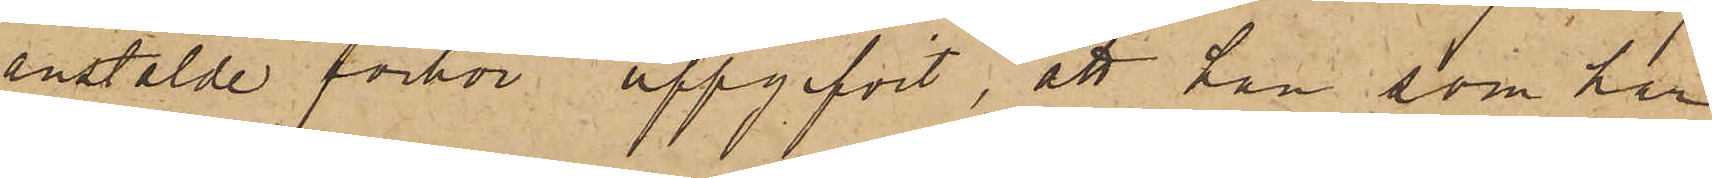anstälde förhör uppgifvit, att han, som har
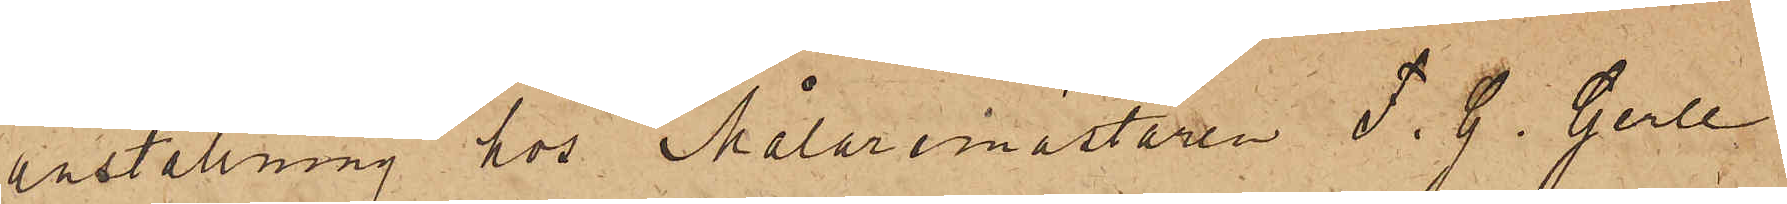anställning hos Målaremästaren F. G. Gerle
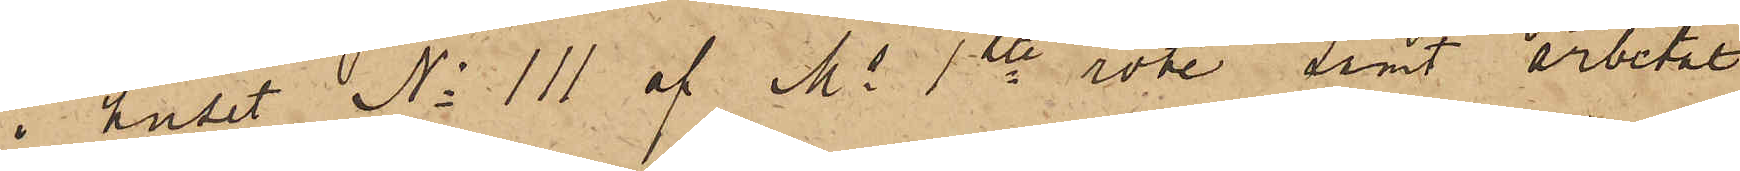i huset No 111 af Ms 1ste rote, samt arbetat
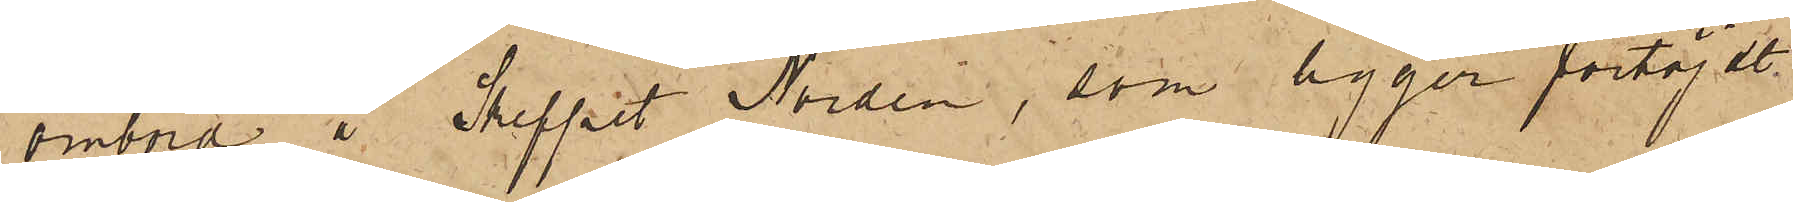ombord å Skeppet Norden, som ligger förtöjdt
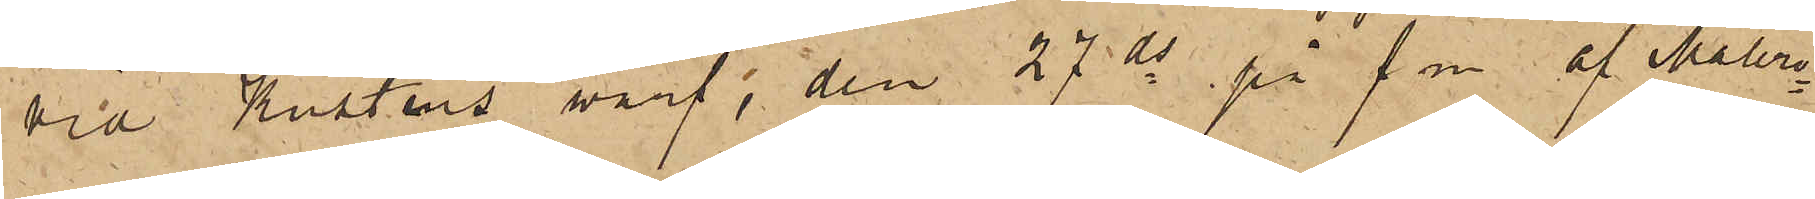vid Kustens warf, den 27 ds på f m af Måleri¬
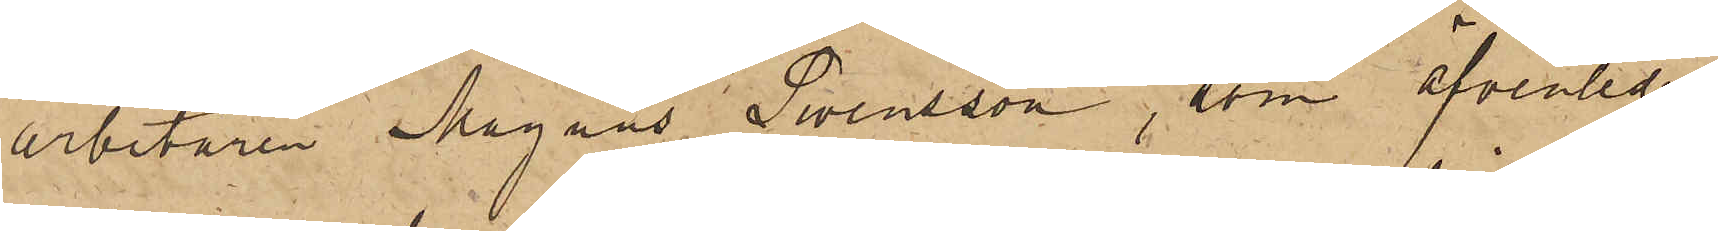arbetaren Magnus Swensson, som äfvenledes
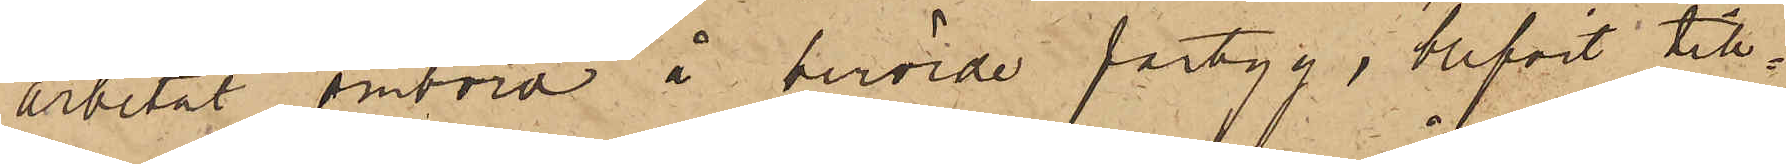arbetat ombord i berörde fartyg, blifvit till¬
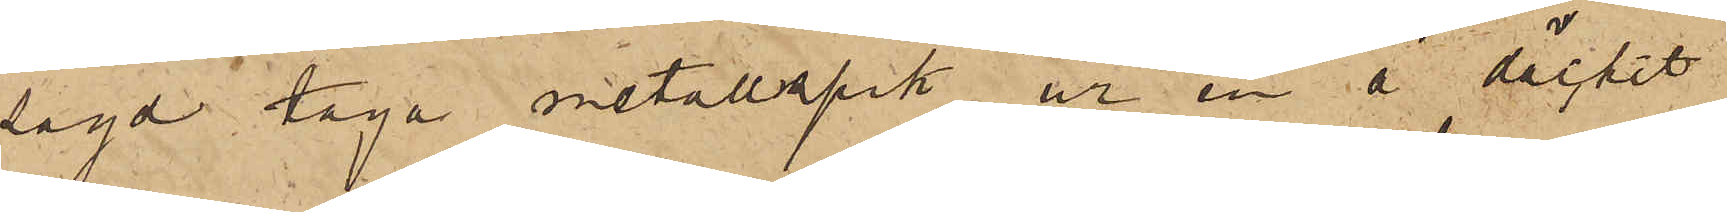sagd taga metallspik ur en å däcket
